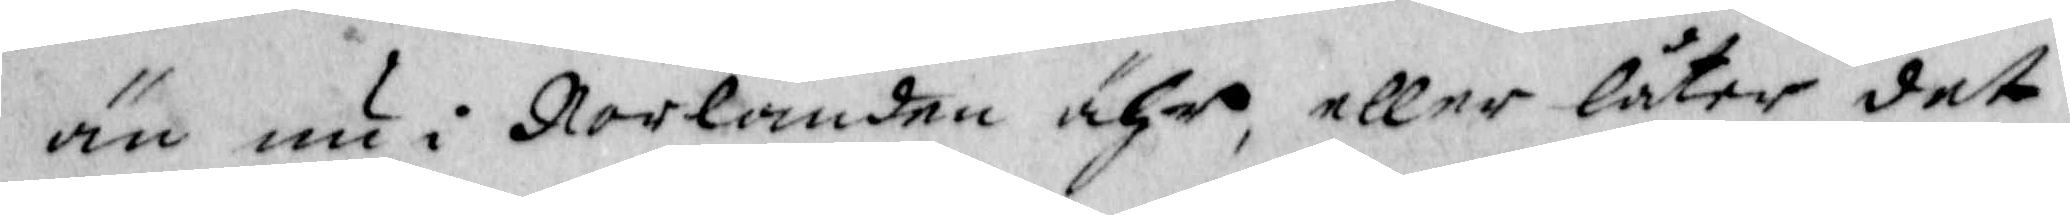än nu i Norlanden ähr, eller låter det
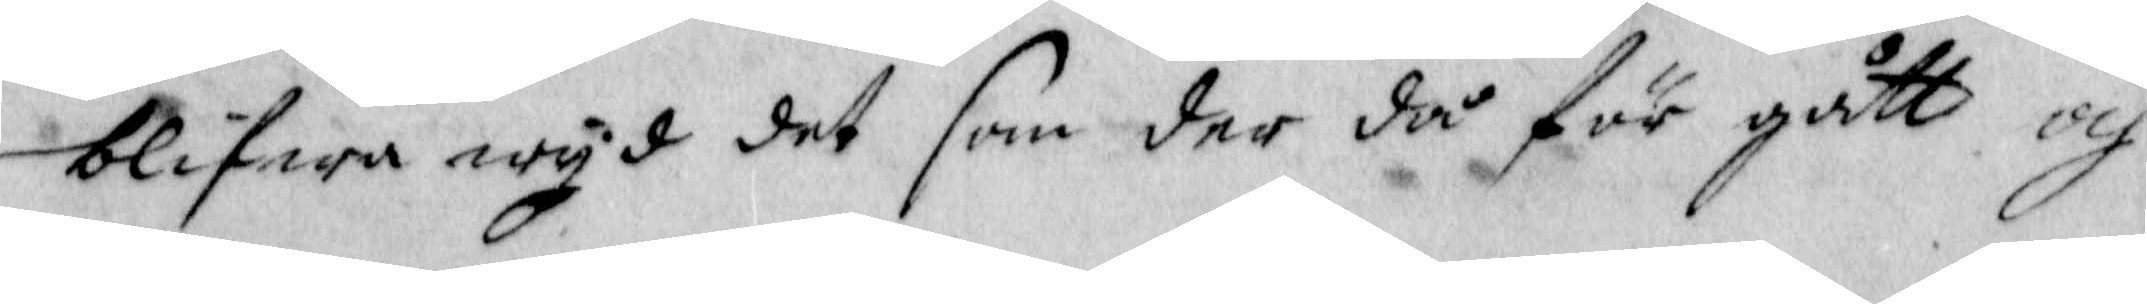blifwa wyd det som der då för gått och 
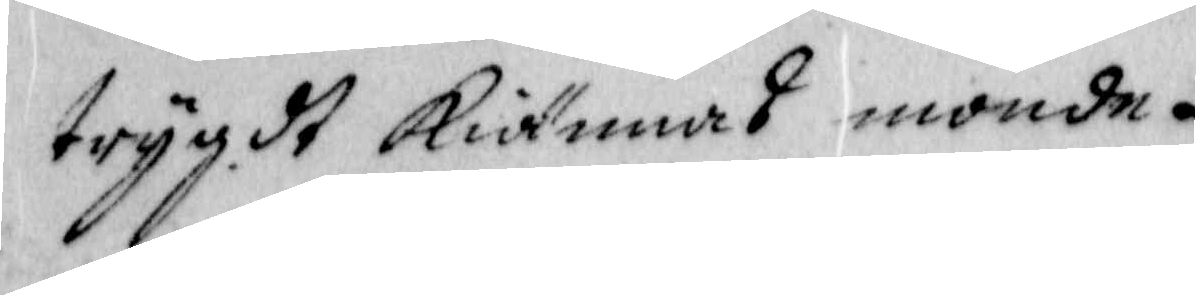trygdt kiännas mpnde.
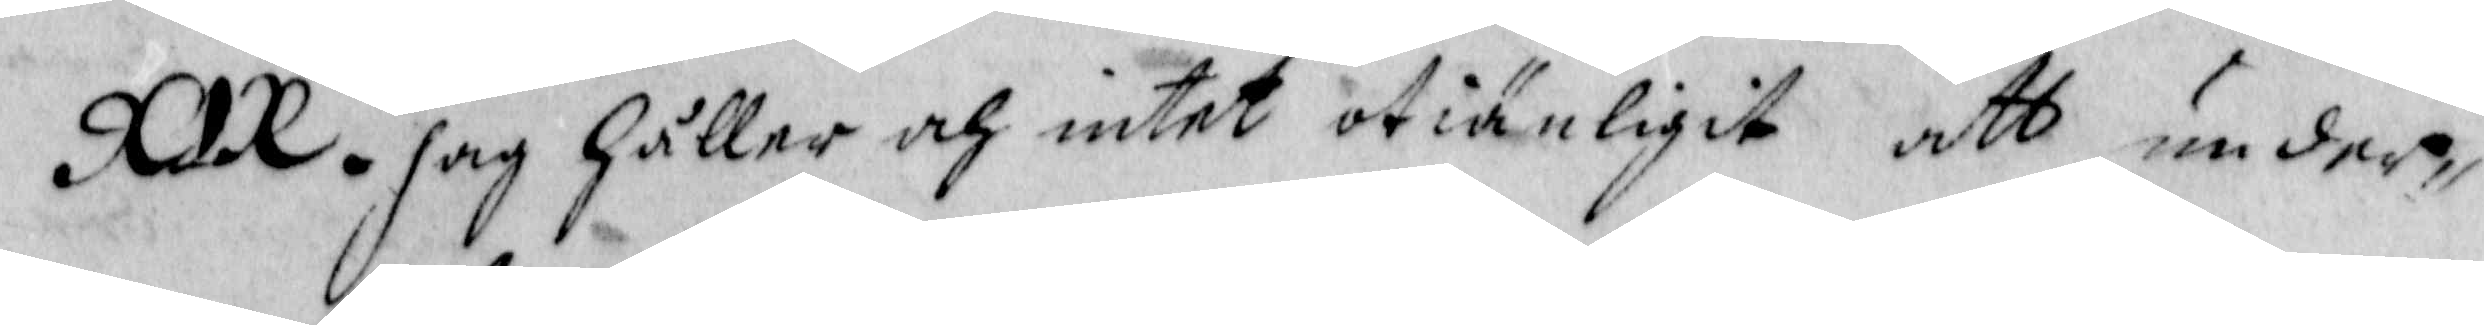XIX. Jag håller och intet otiänligit att under¬
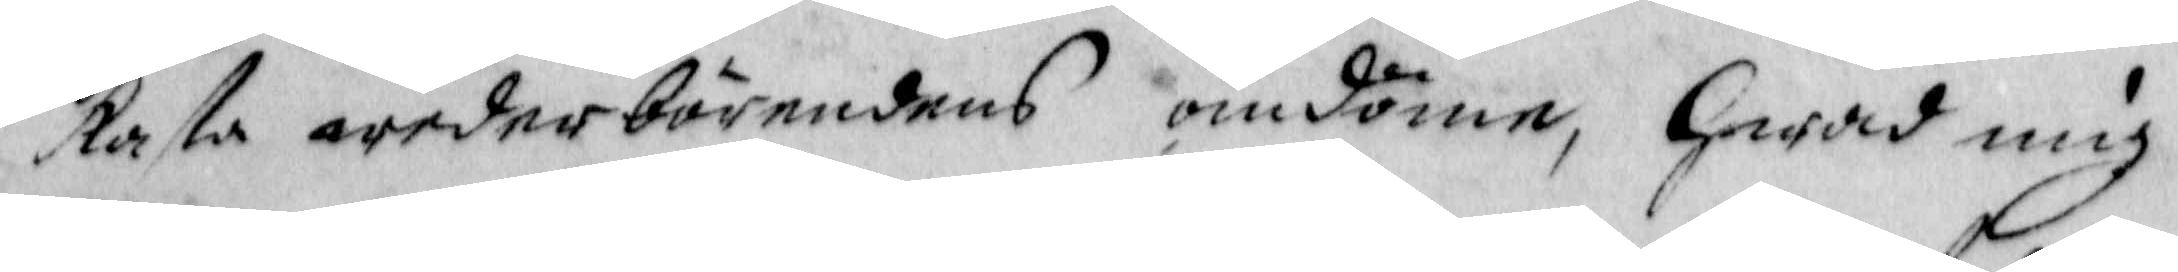kast wederbörandes omdöme, hwad mig
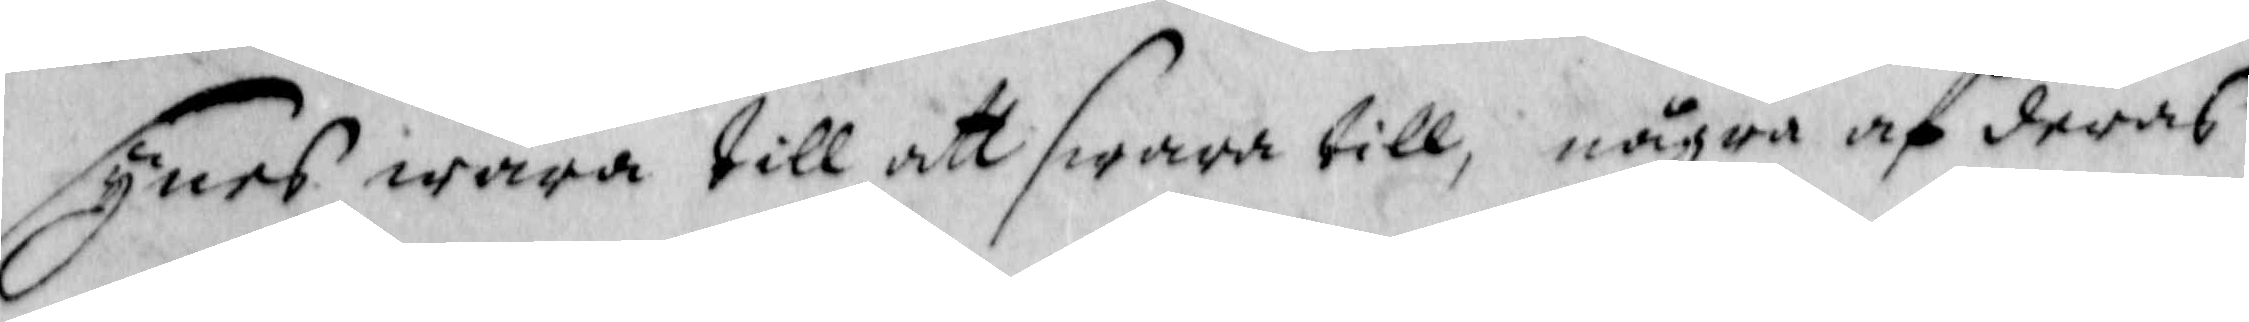synes wara till att swara till, några af deras
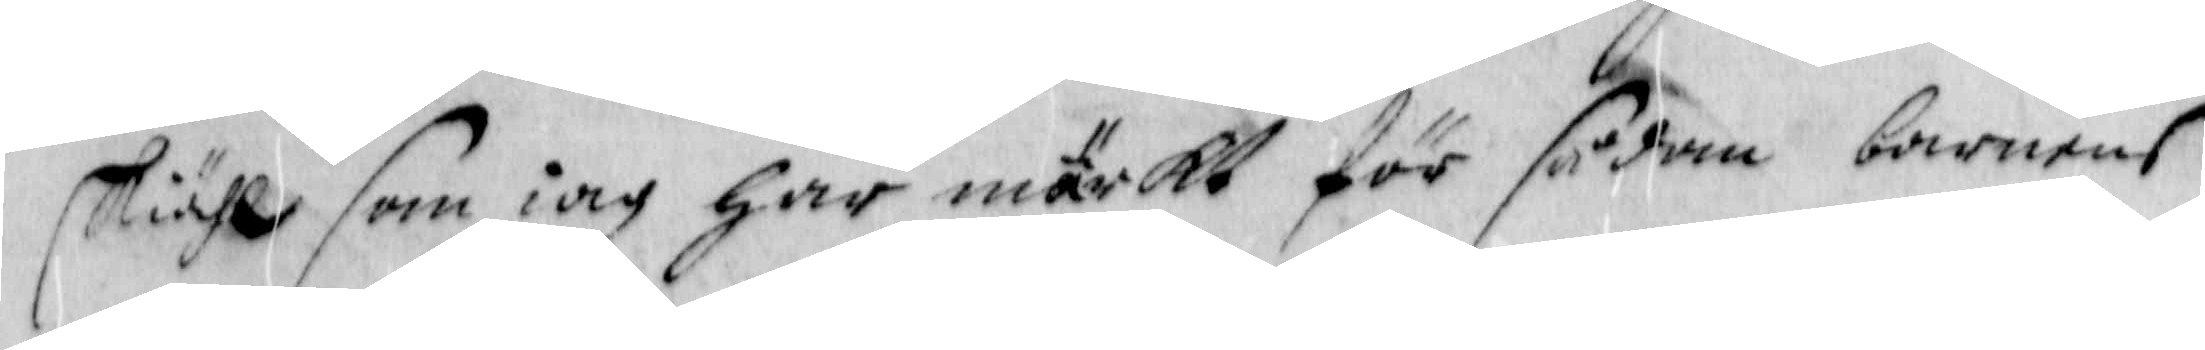skiähl som iag har märkt för sådan barnens
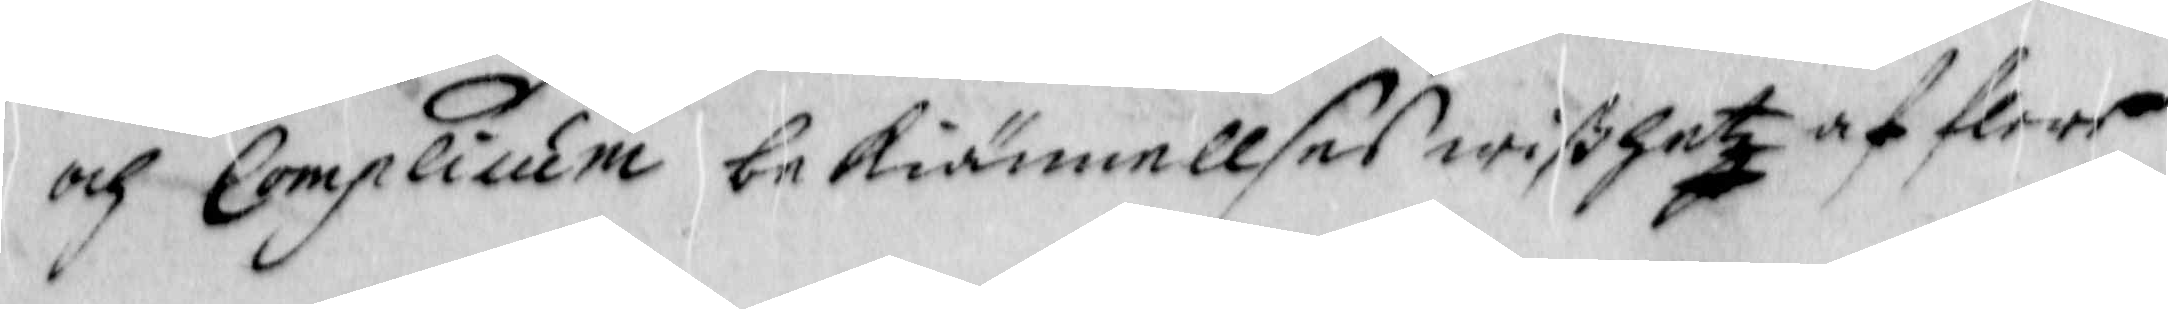och Complicum bekiännellser wißhet af flere
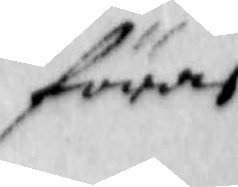föras
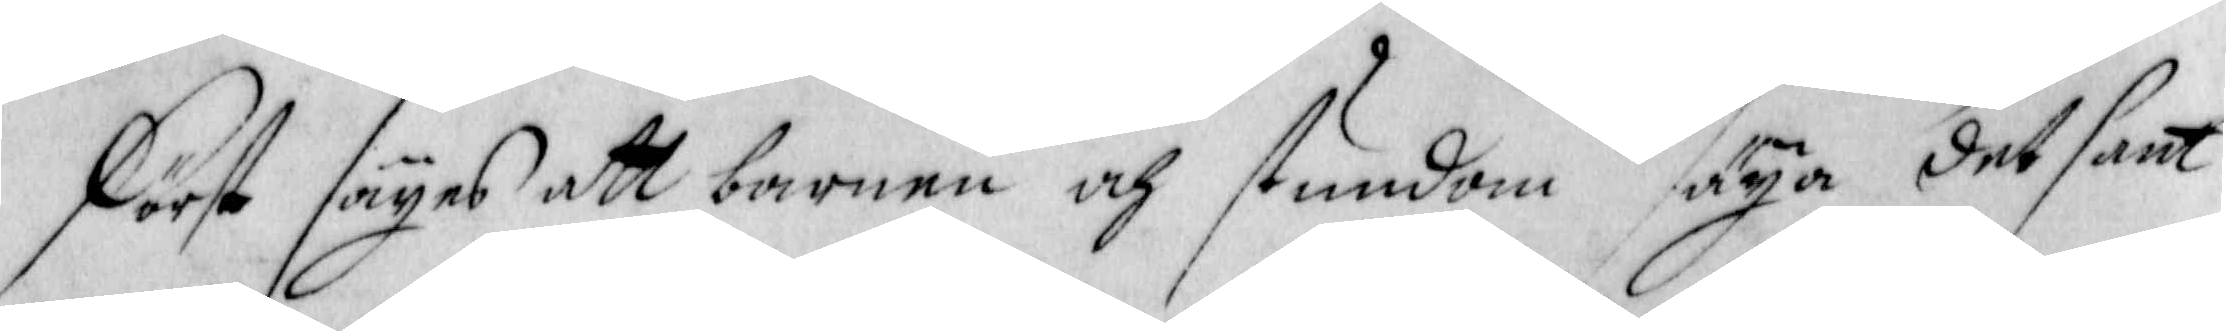Först säyes att barnen och stundom såya det sant
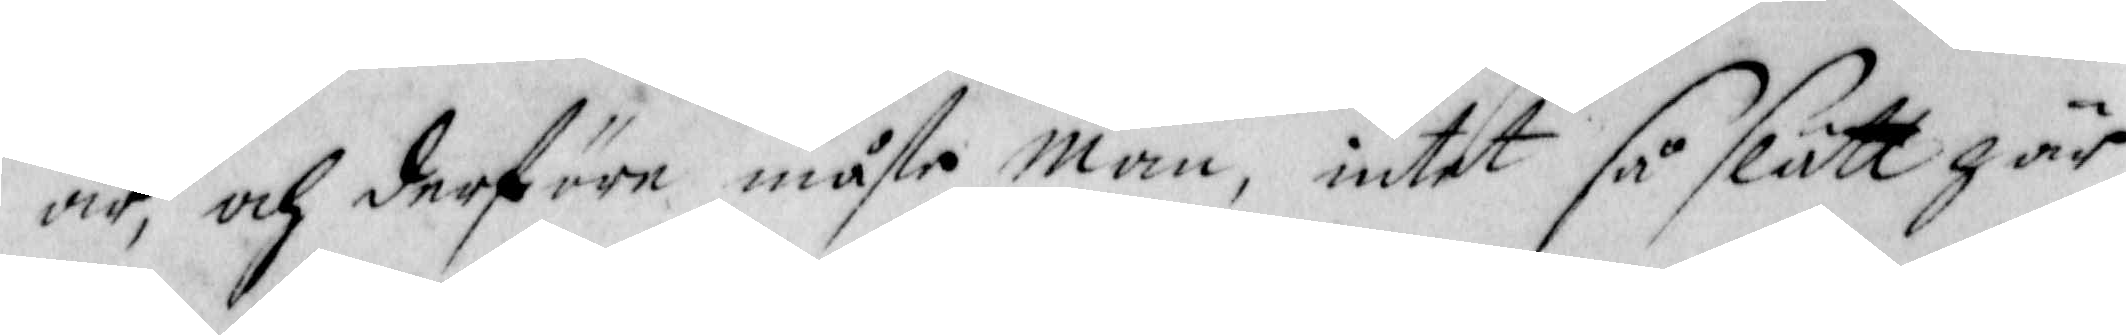är, och derföre måste man, intet så slätt här
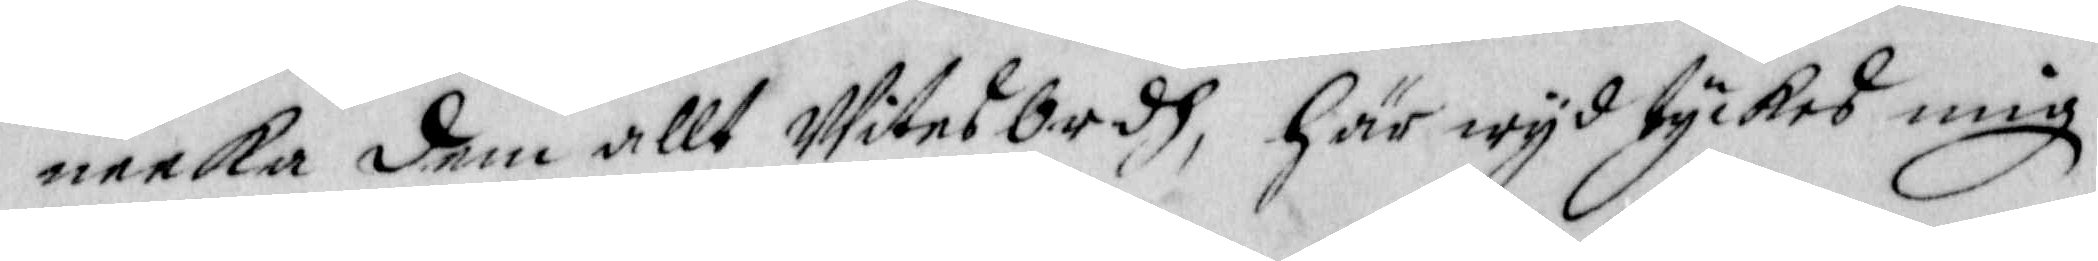neeka dem allt Witnesbrdeh, här wyd tyckes mig
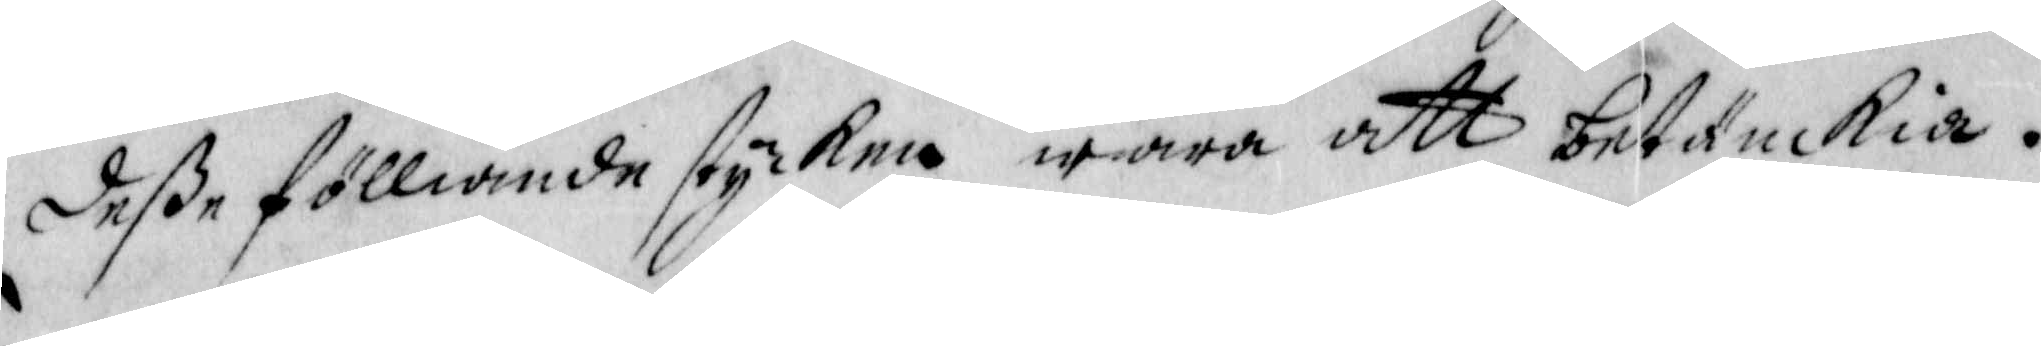deße fölliande stycken wara att betänckia.
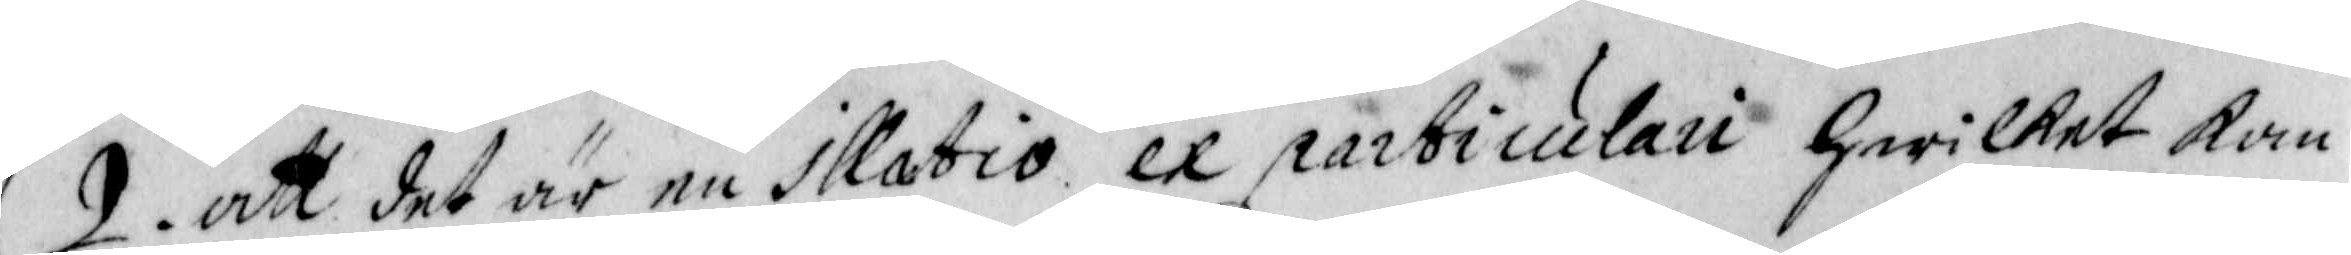2. att det är en illabio ex particulau hwilket kan
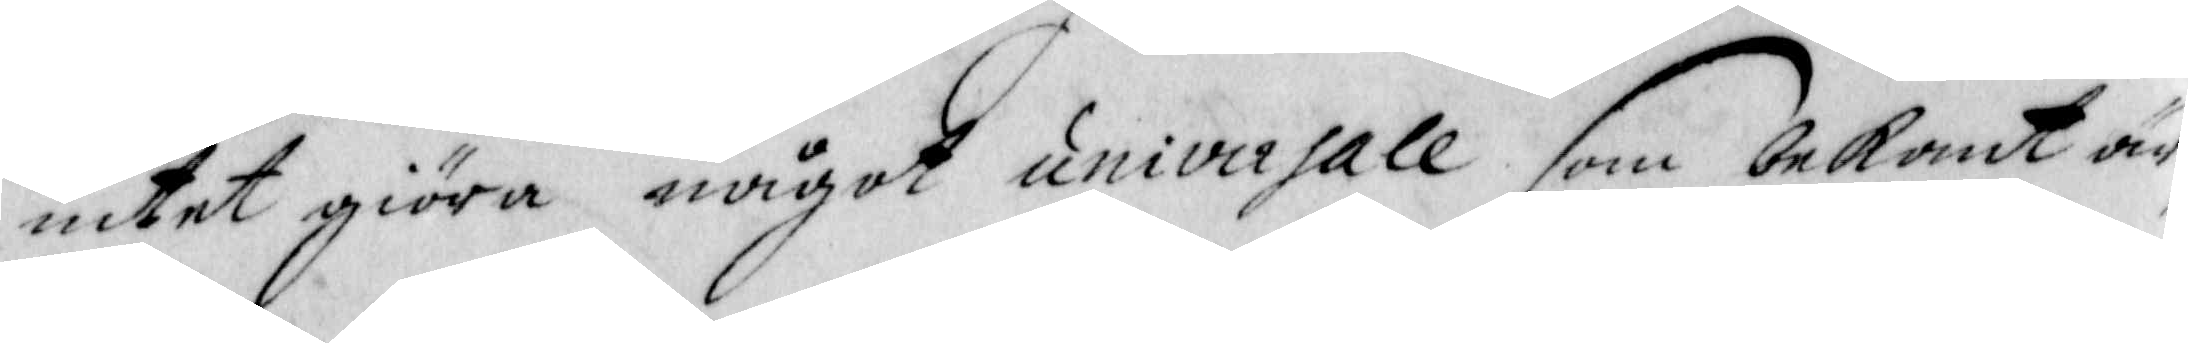intet giöra något univirsale som bekant är,
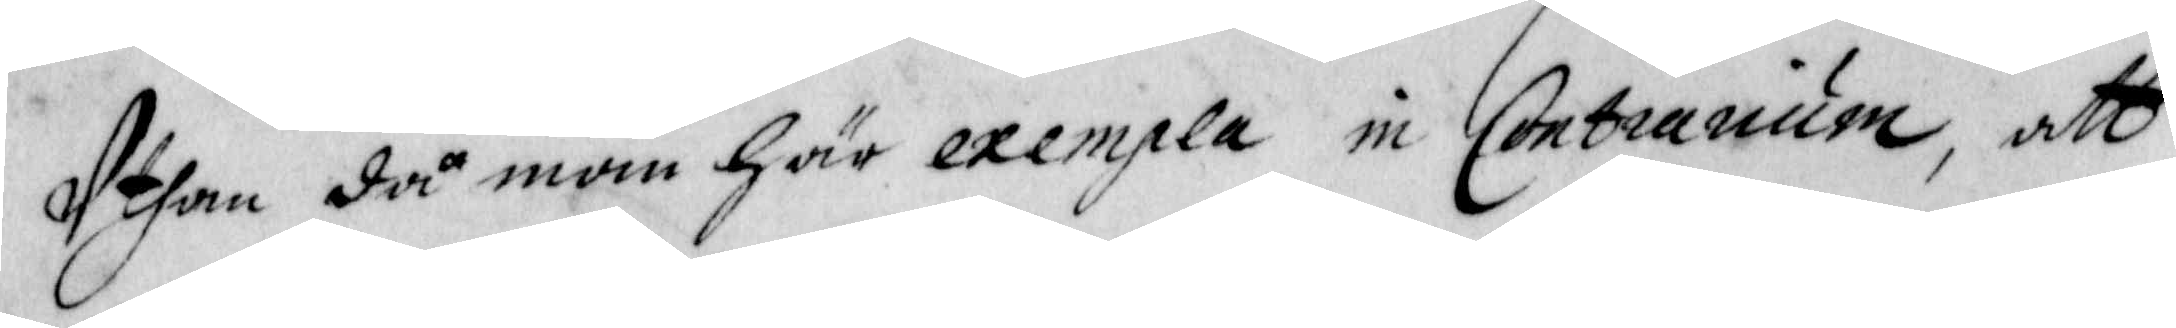Uthan då man gär exempla in Contrarium, att
